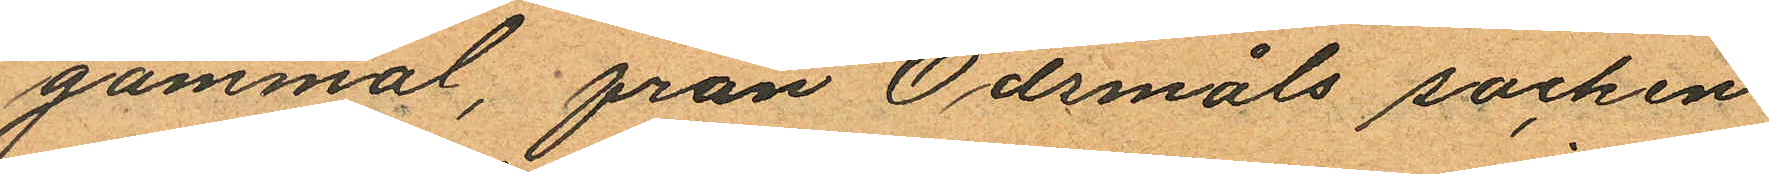gammal, från Ödsmåls socken
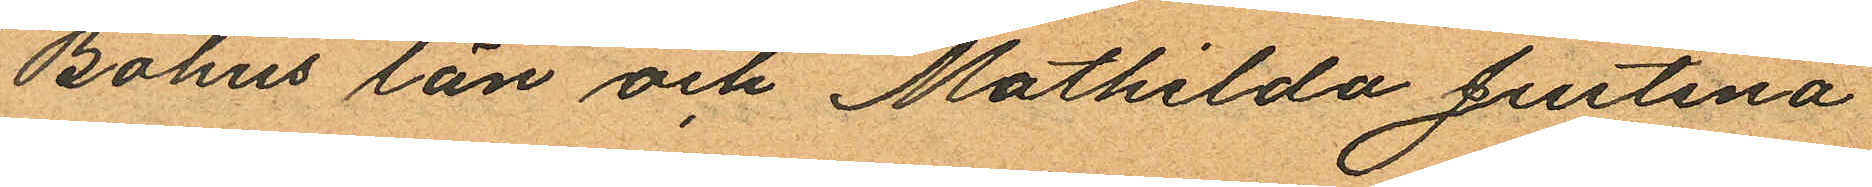Bohus län och Mathilda Justina
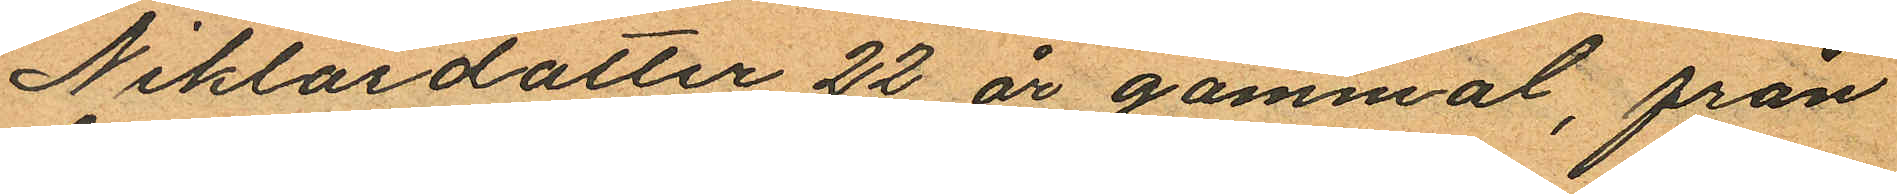Niklasdotter 22 år gammal, från
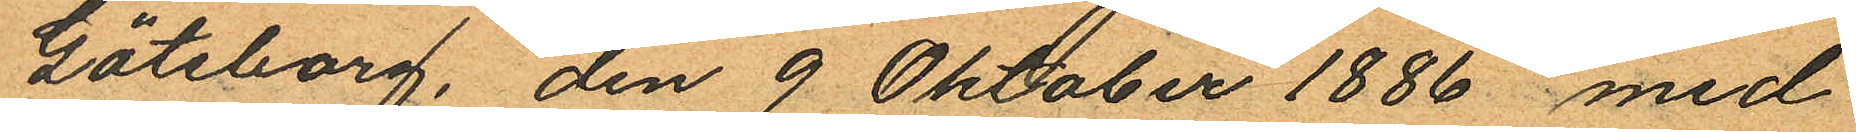Göteborg, den 9 Oktober 1886 med
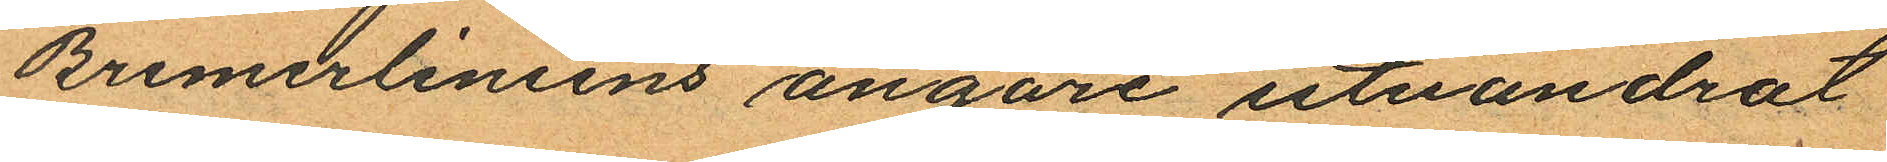Bremerliniens ångare utvandrat
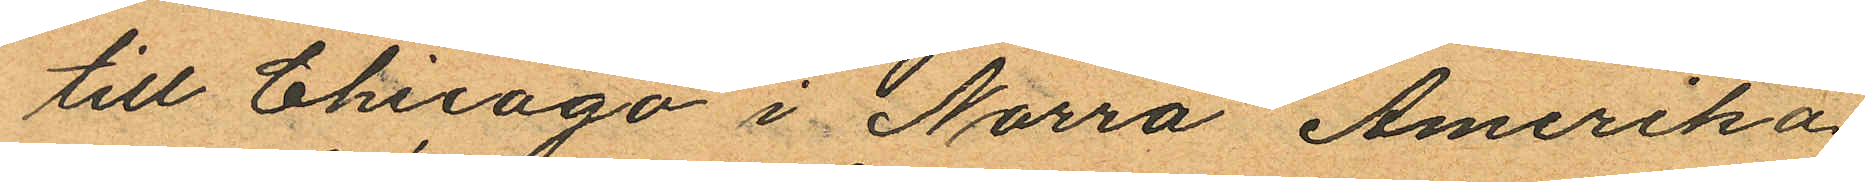till Chicago i Norra Amerika,
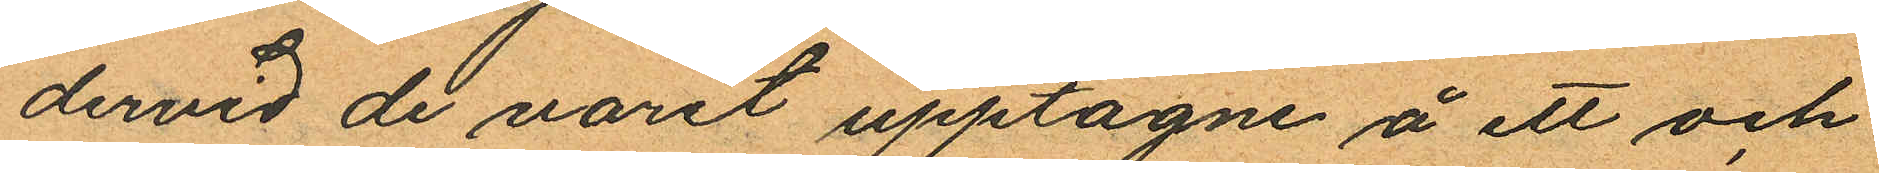dervid de varit upptagne å ett och
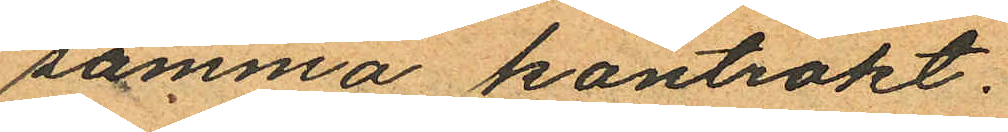samma kontrakt.
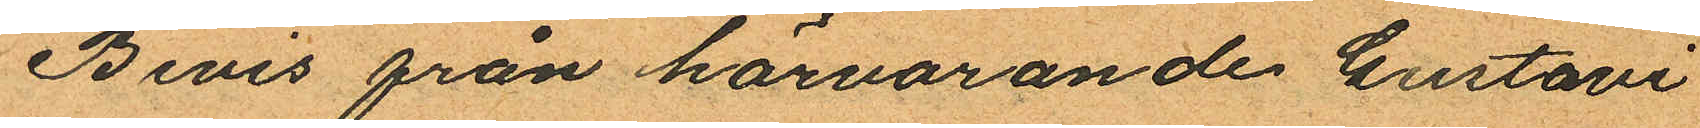Bevis från härvarande Gustavi
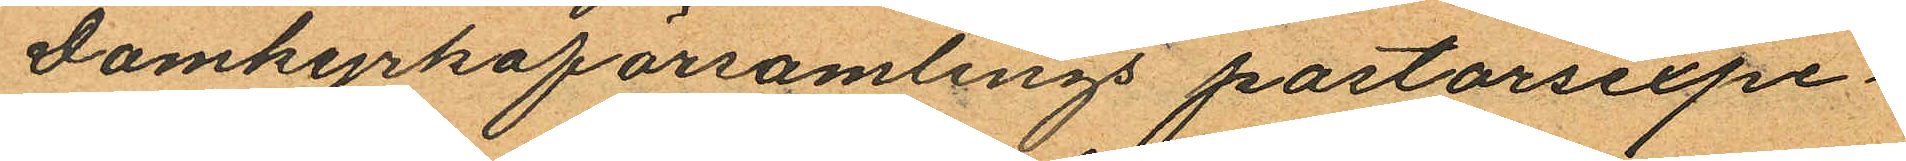Domkyrkoförsamlings pastorsexpe¬
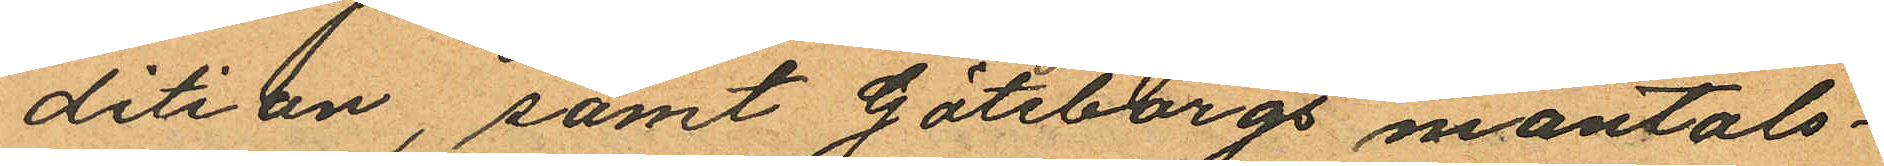dition, samt Göteborgs mantals¬
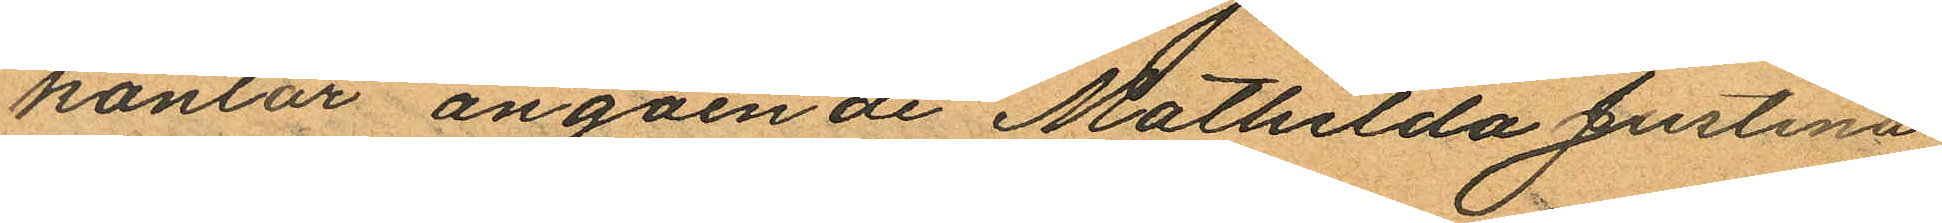kontor angående Mathilda Justina
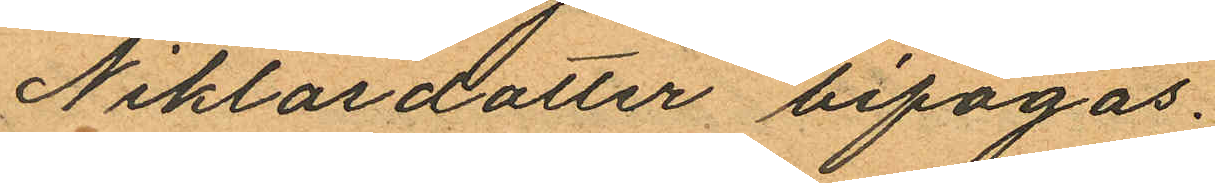Niklasdotter bifogas.
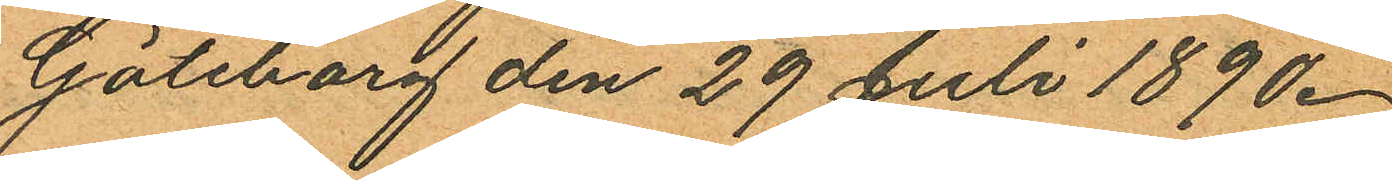Göteborg den 29 Juli 1890.
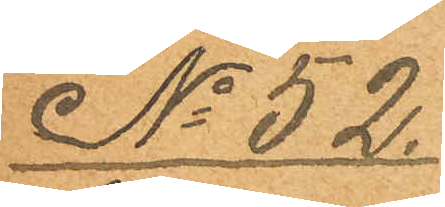No 52.
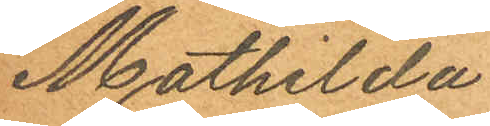Mathilda
